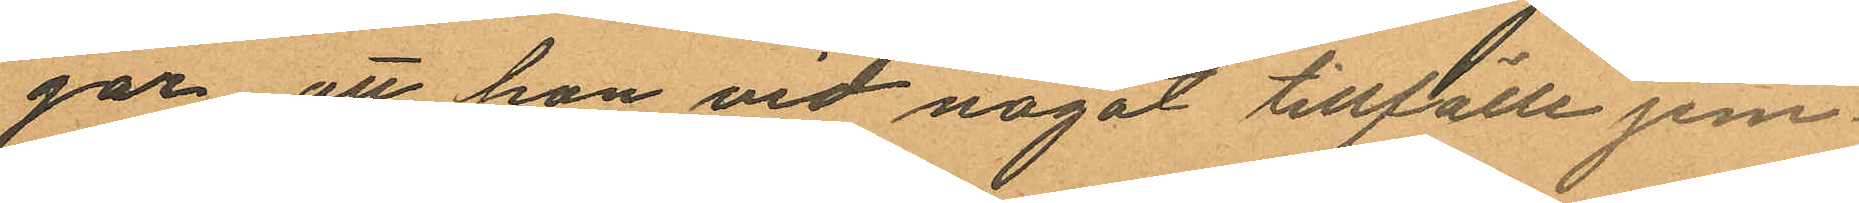gar att hon vid något tillfälle jem¬
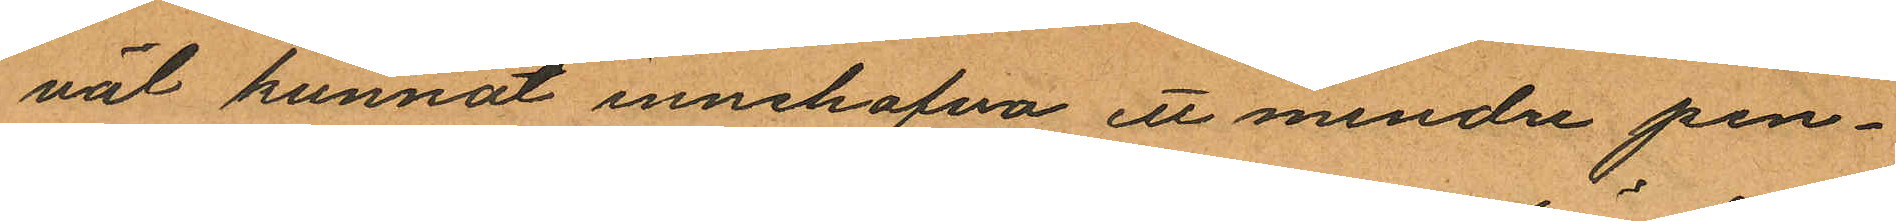väl kunnat innehafva ett mindre pen¬
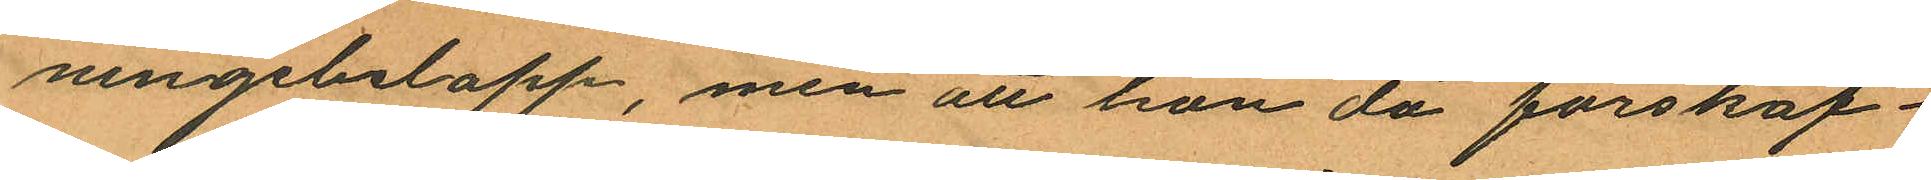ningebelopp, men att hon då förskaf¬
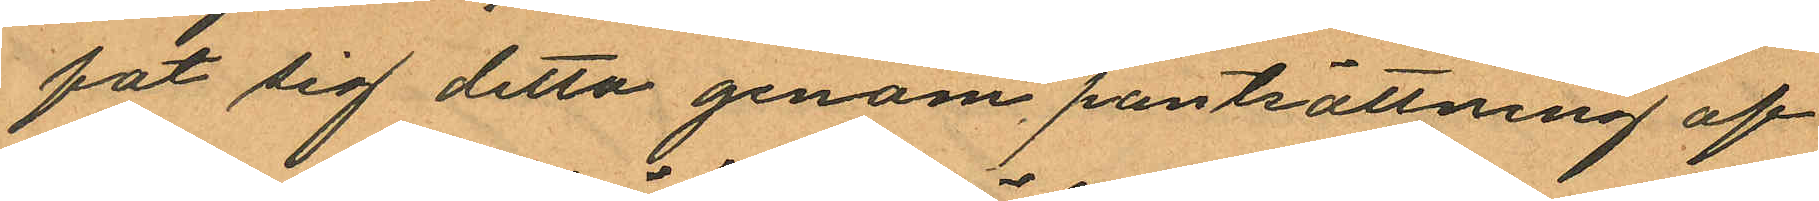fat sig detta genom pantsättning af
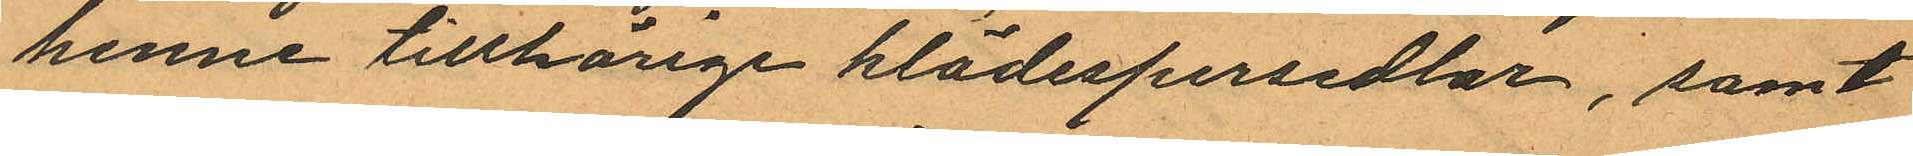henne tillhörige klädespersedlar, samt
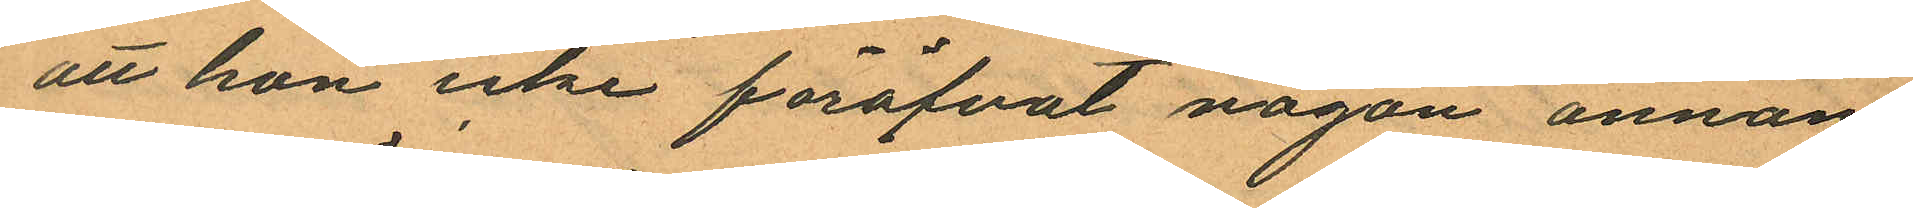att hon icke föröfvat någon annan
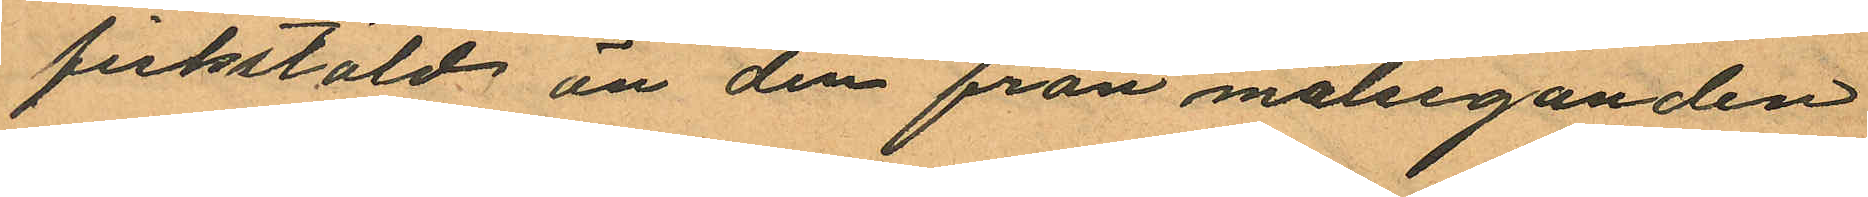fickstöld att den från målseganden
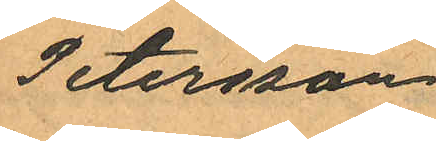Petersson.
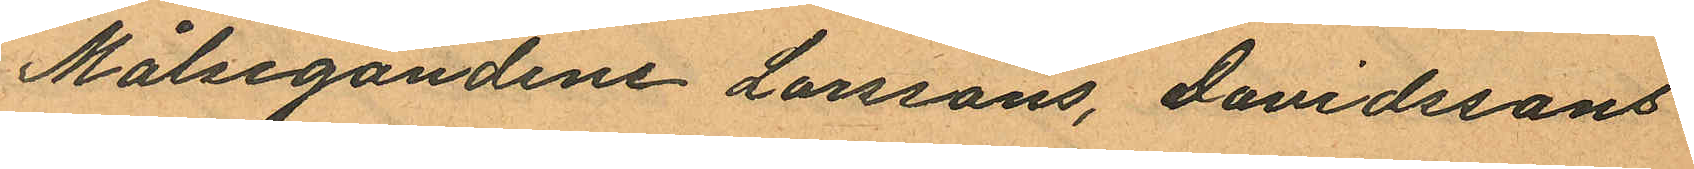Målsegandene Larssons, Davidssons
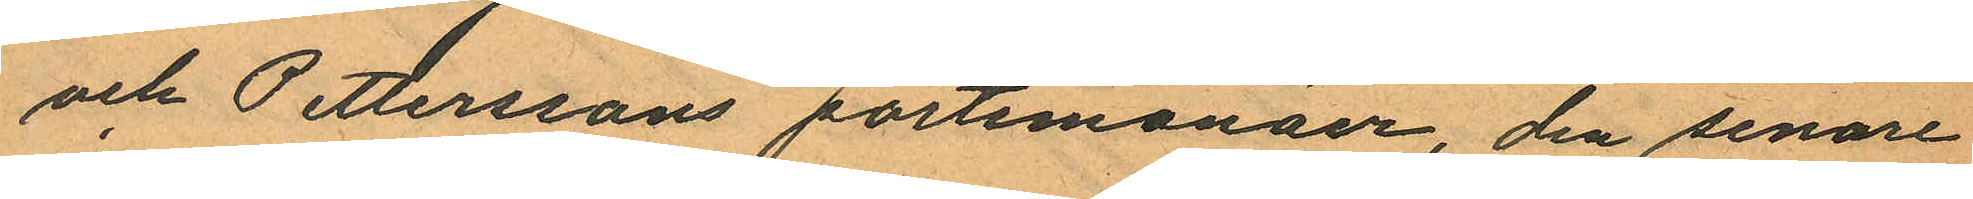och Petterssons portemonäer, den senare
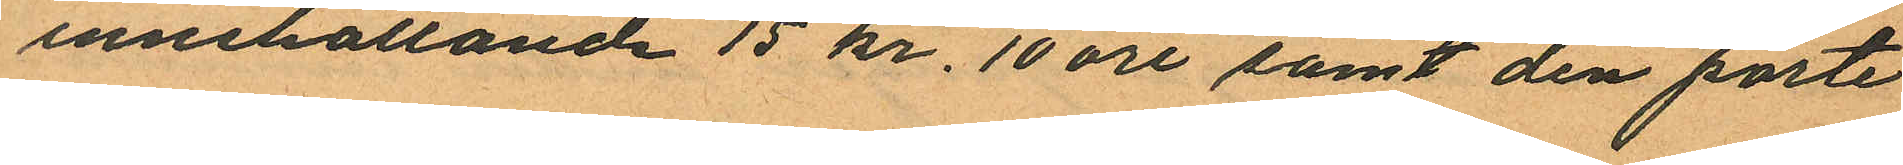innehållande 15 kr. 10 öre samt den porte
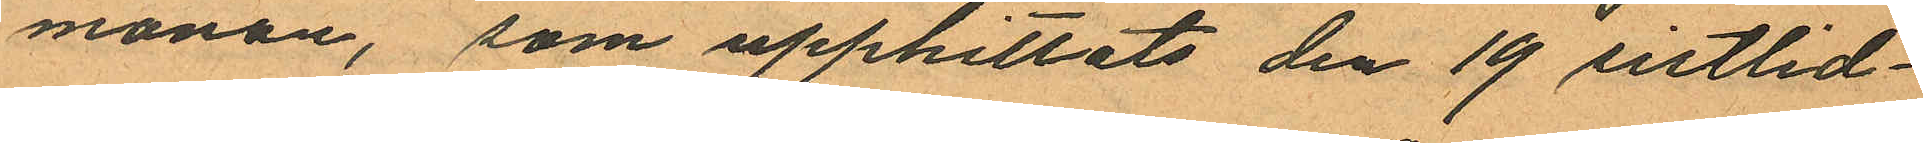monän, som upphittats den 19 sistlid¬
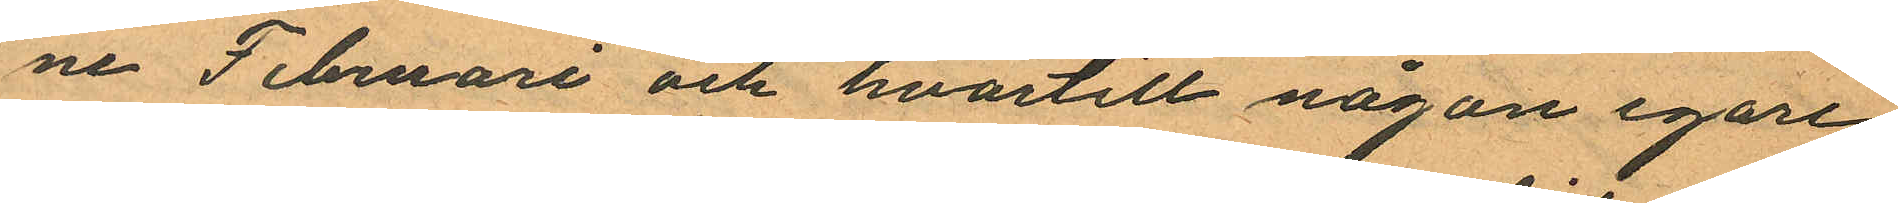ne Februari och hvartill någon egare
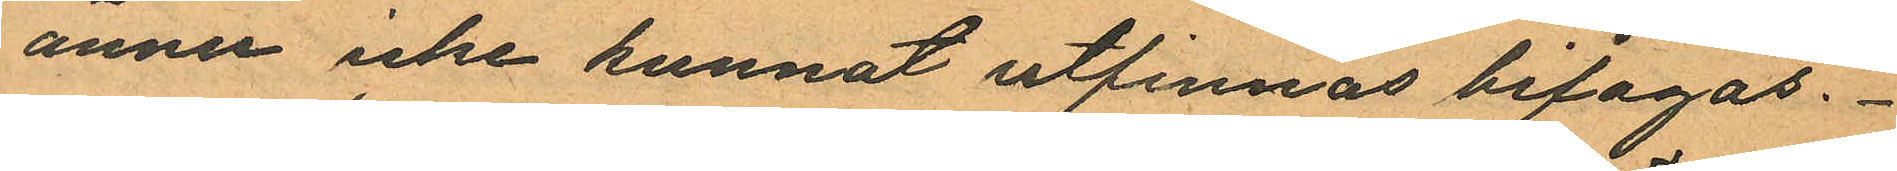ännu icke kunnat utfinnas bifogas.
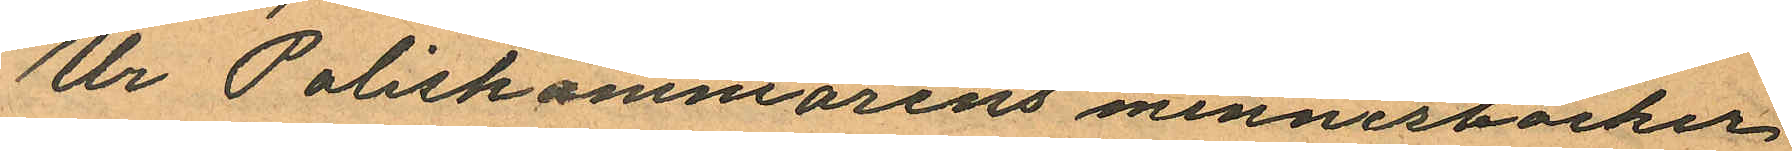Ur Poliskammarens minnesböcker
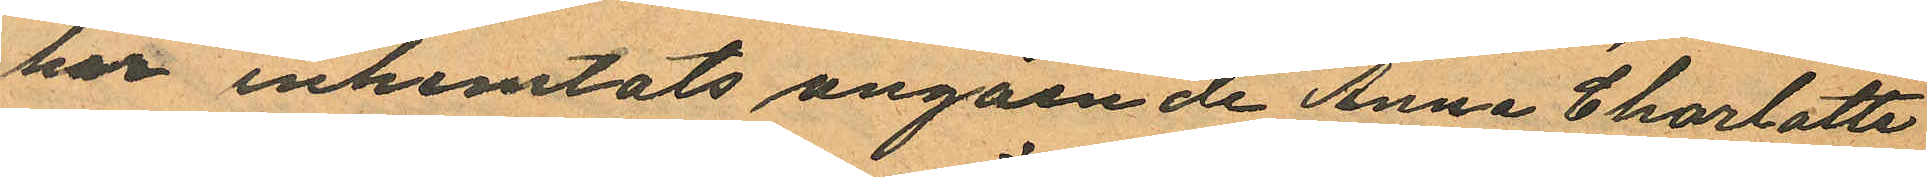har inhemtats angående Anna Charlotta
